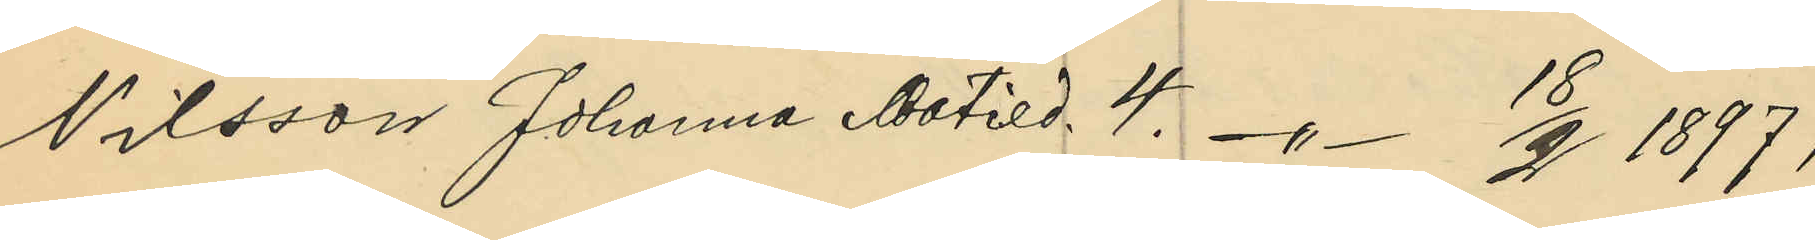Nilsson Johanna Matild. 4. -"- 18/2 1897;
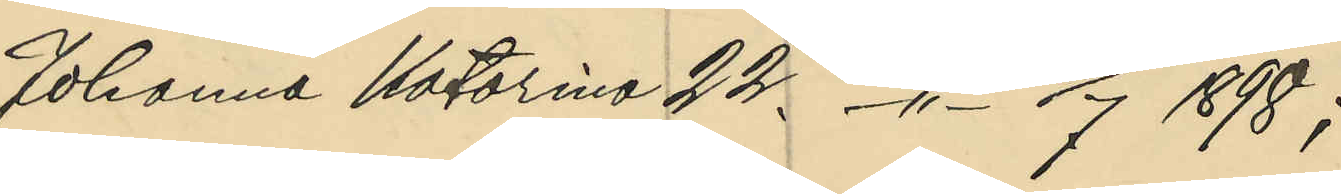Johanna Katarina 22. -"- 8/7 1898;
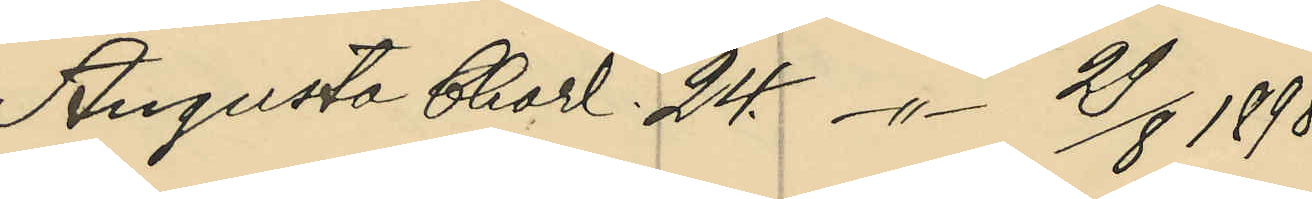Augusta Charl. 24. -"- 29/8 1898;
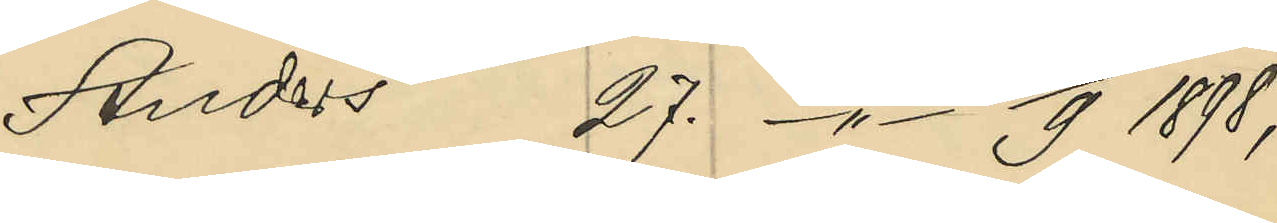Anders 27. -"- 15/9 1898;
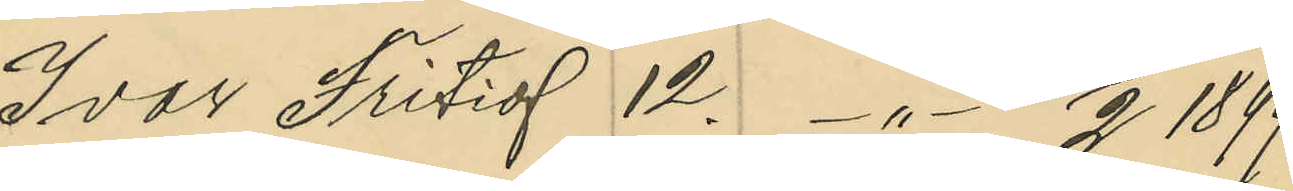Ivar Fritiof 12 -"- 20/2 1899;
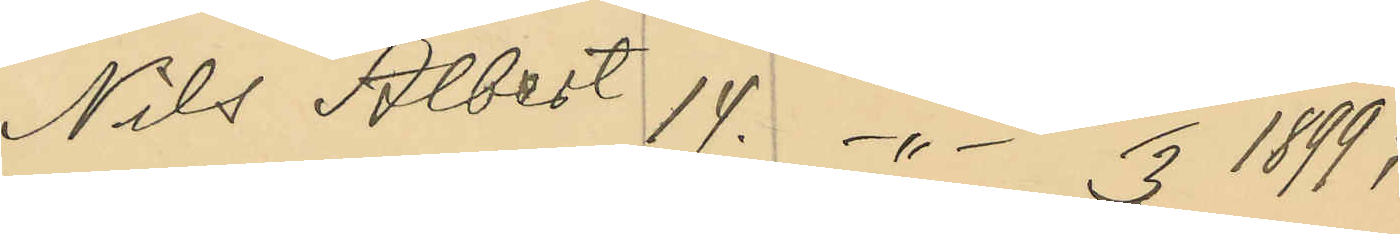Nils Albert 14. -"- 22/3 1899;
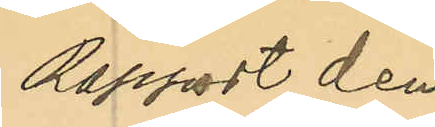Rapport den
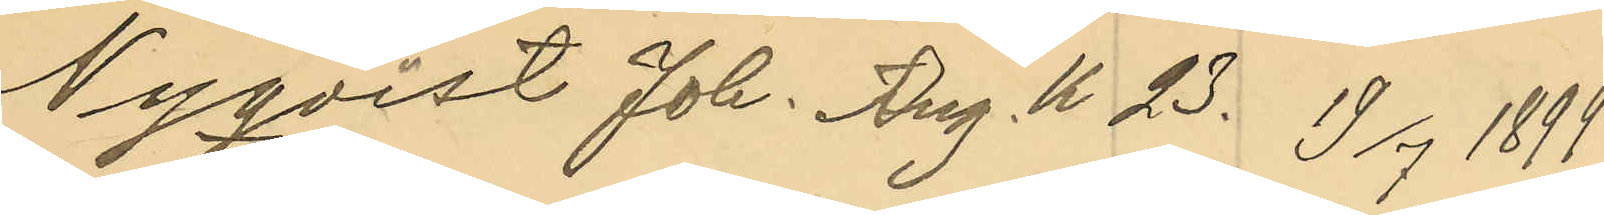Nyqvist Joh. Aug. K 23. 19/7 1899;
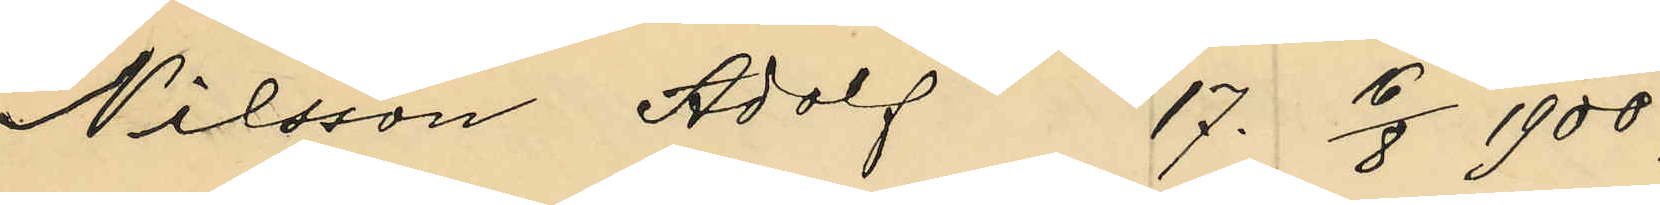Nilsson Adolf 17. 16/8 1900;
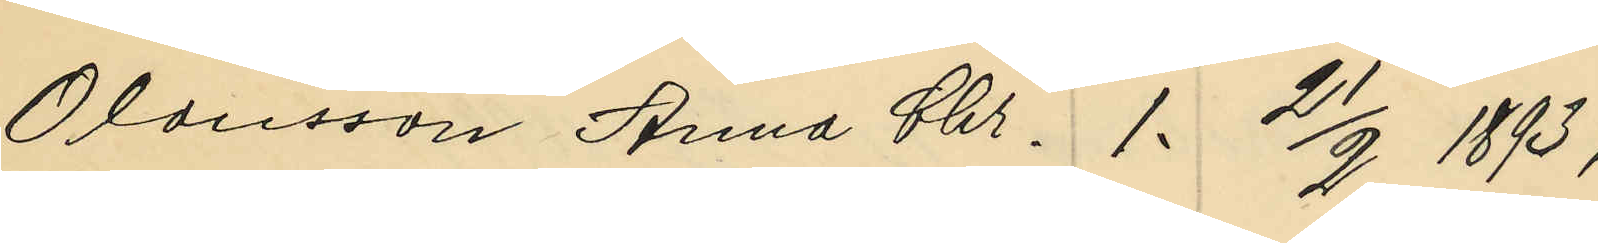Olausson Anna Chr. 1. 21/9 1893;
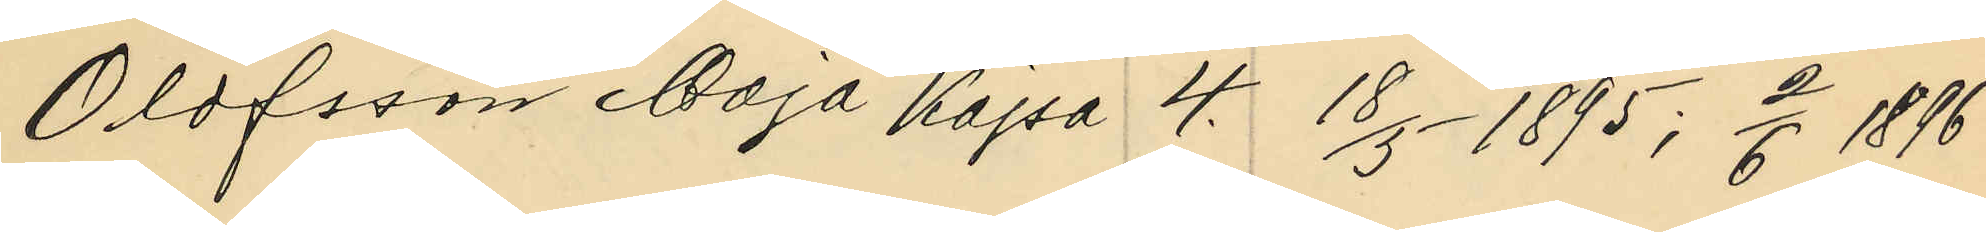Olofsson Maja Kajsa 4. 18/5 1895; 2/6 1896
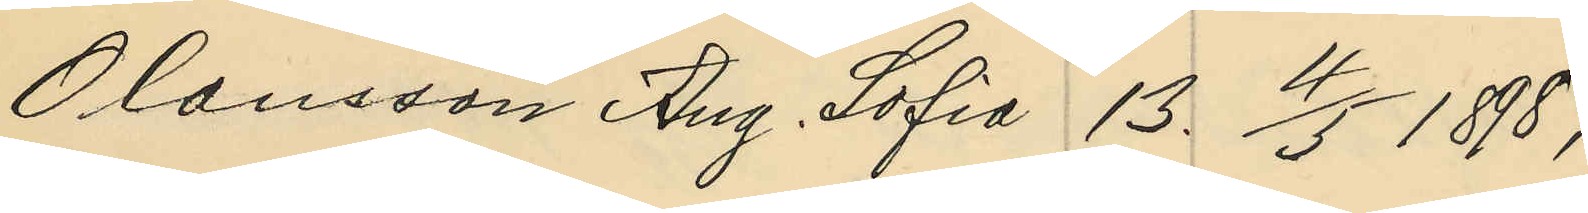Olausson Aug. Sofia 13. 4/5 1898.
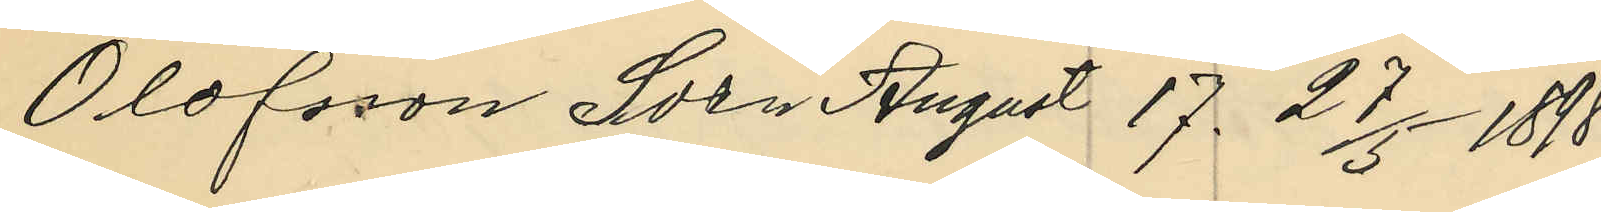Olofsson Sven August 17. 27/5 1898;
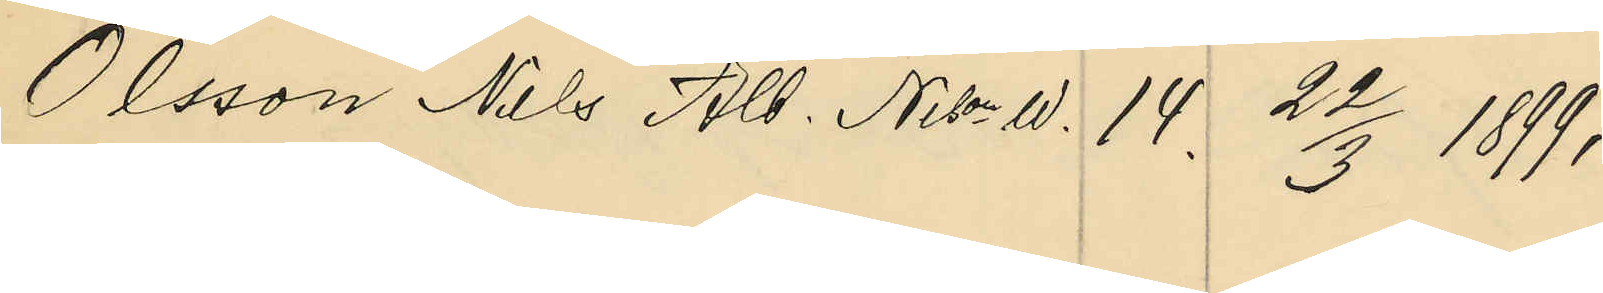Olsson Nils Alb. Nison W. 14. 22/3 1899;
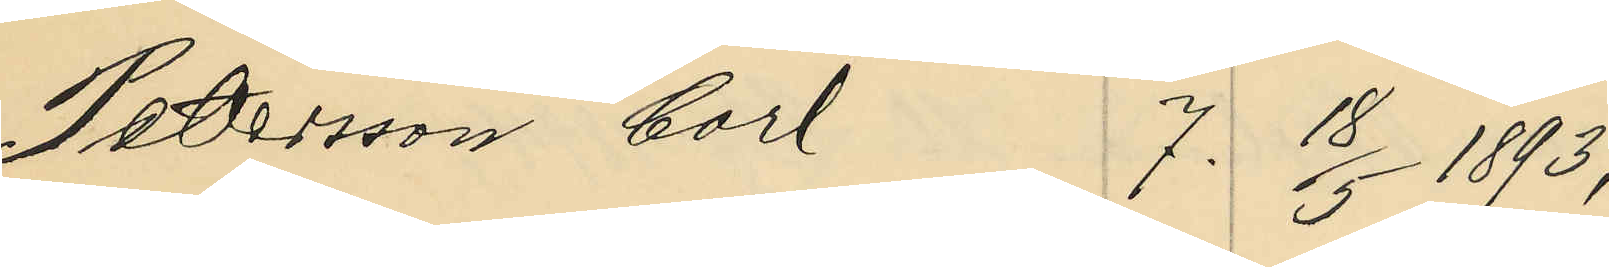Petssson Carl 7. 18/5 1893;
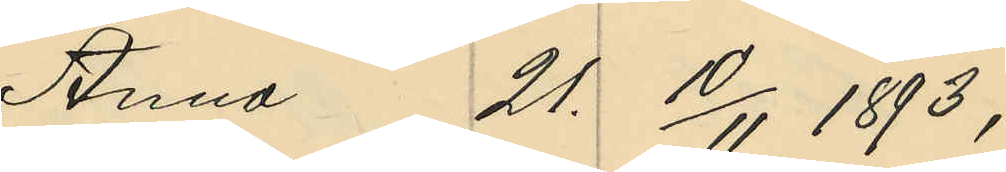Anna 21. 10/11 1893;
